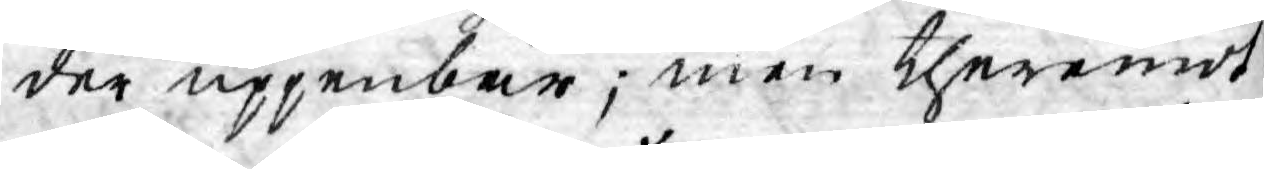der uppenbar; men theremot
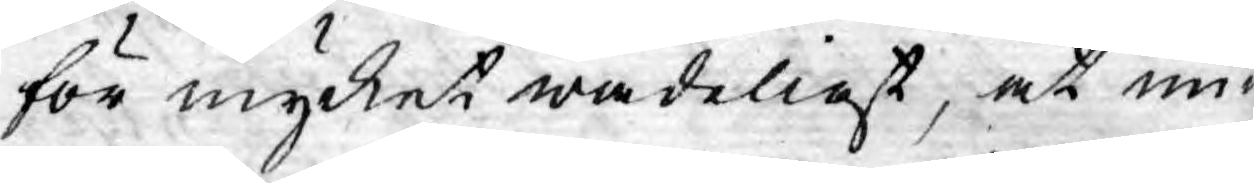för mycket wådeligt, at un¬
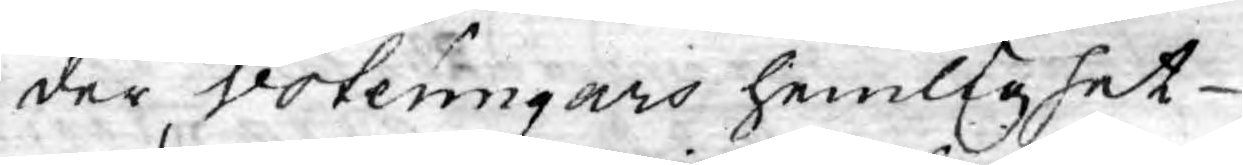der voteringars hemlighet
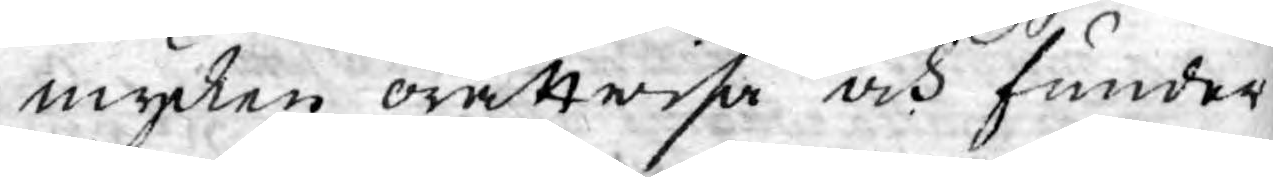mycken orättwisa och funder
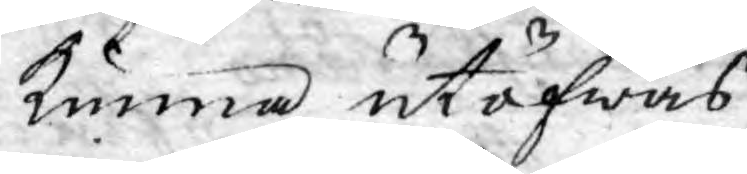kunna utöfwas.
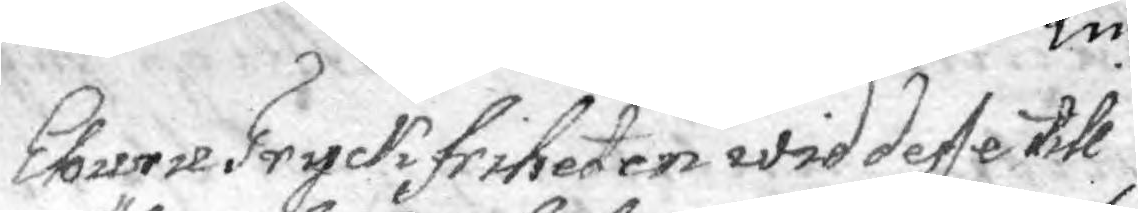Ehuru Tryckfriheten wid desse till¬
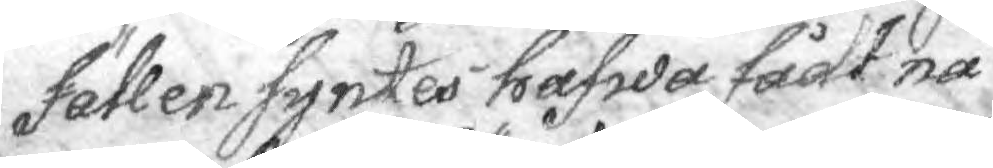fällen syntes hafwa fådt nå¬
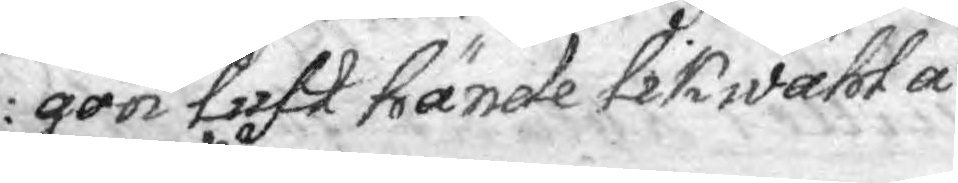gon luft hände likwähl å¬
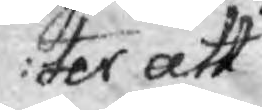ter att
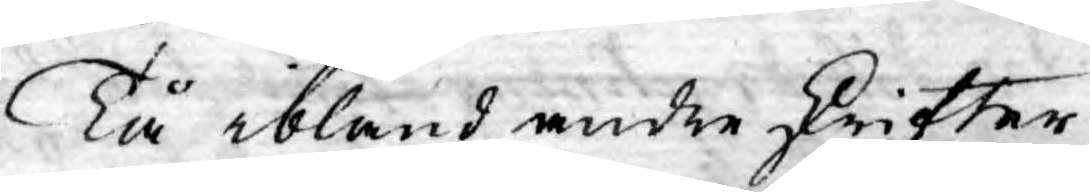Tå ibland andre skrifter
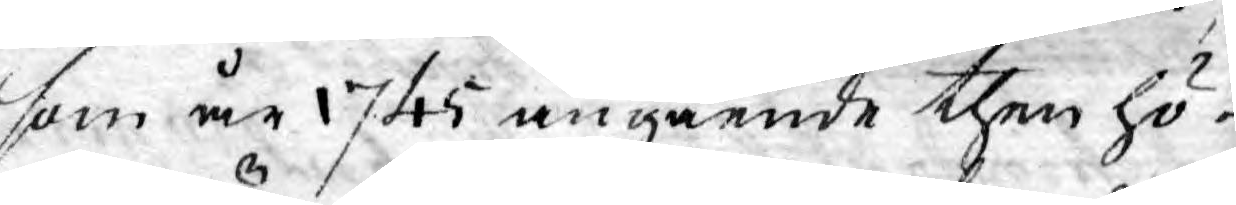som år 1745 angående then hö¬
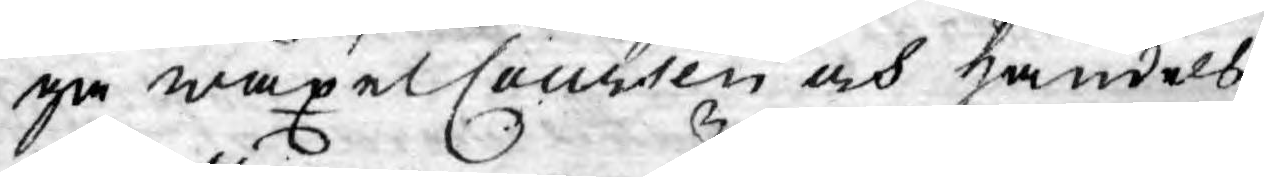ga wäxelCoursen och handels¬
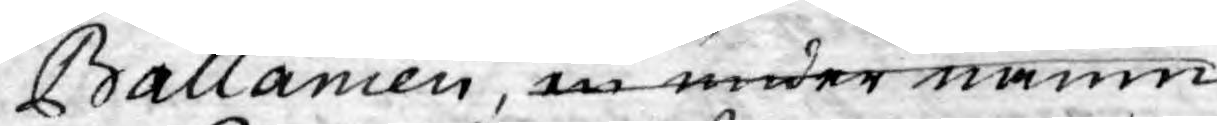Ballancen, en under namn
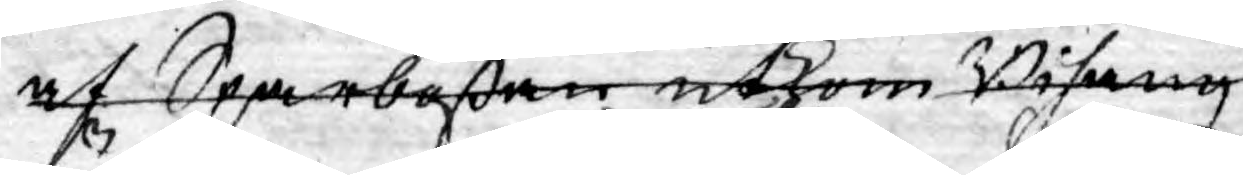af Sparbößan utkom Bihang
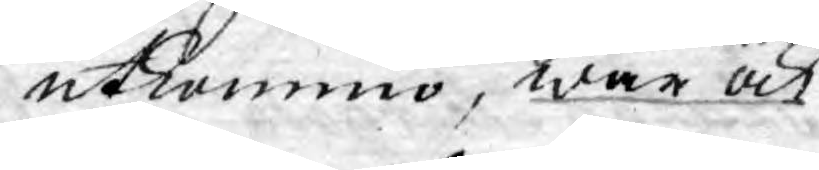utkommo, war ock
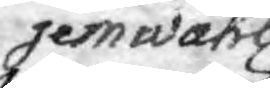jemwähl
